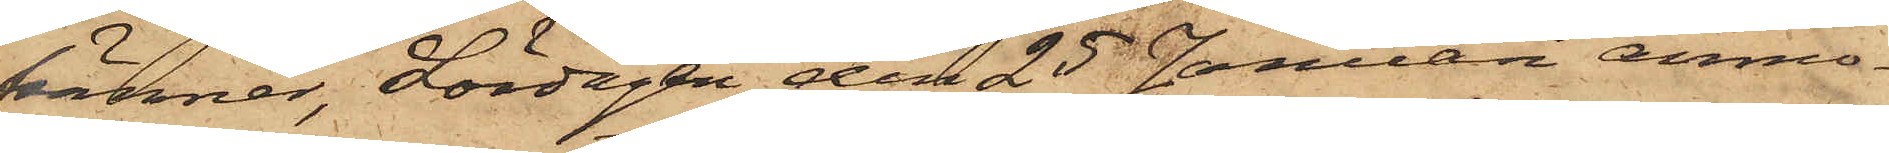känner, Lördagen den 25 Januari anmo¬
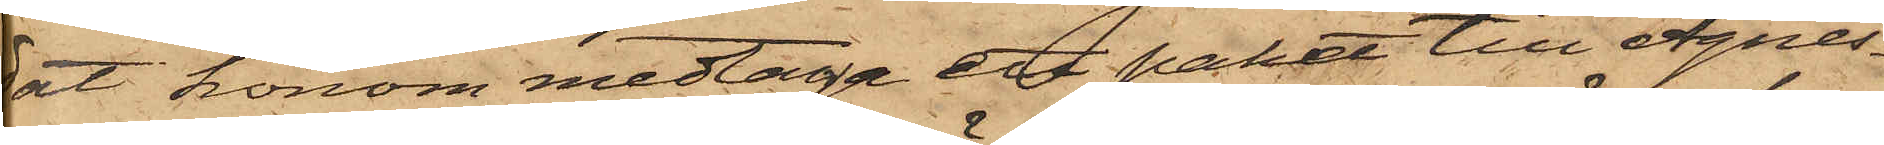dat honom medtaga ett paket till Agnes¬
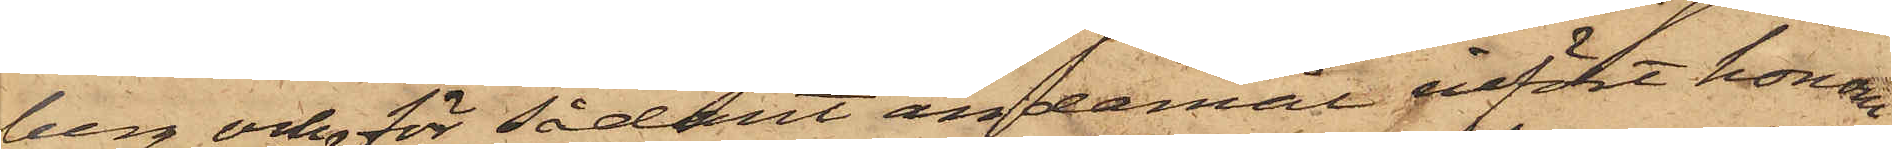berg och för sådant ändamål infört honom
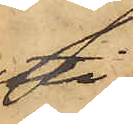uti
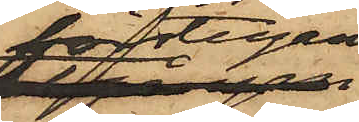förstugan
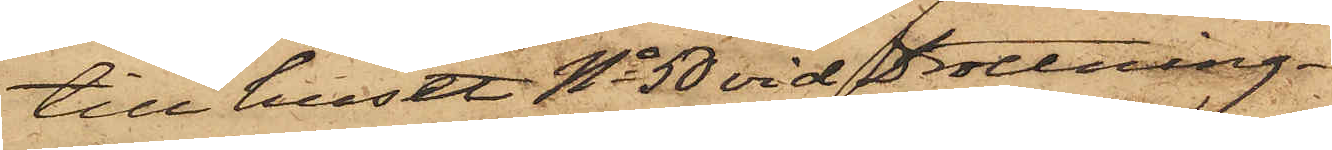till huset No 50 vid Drottning¬
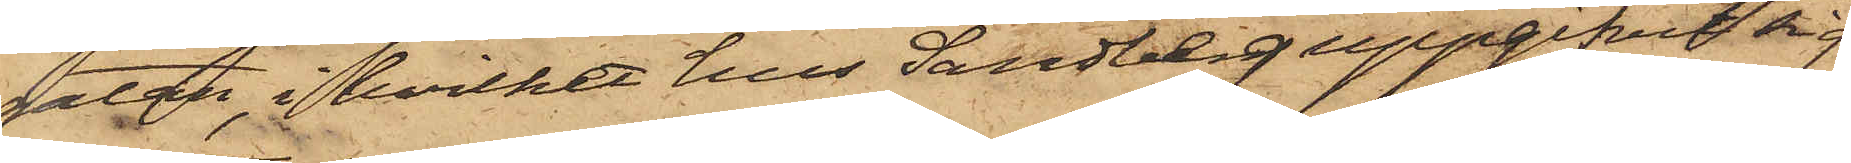gatan, i hvilket hus Sandberg uppgifvit sig
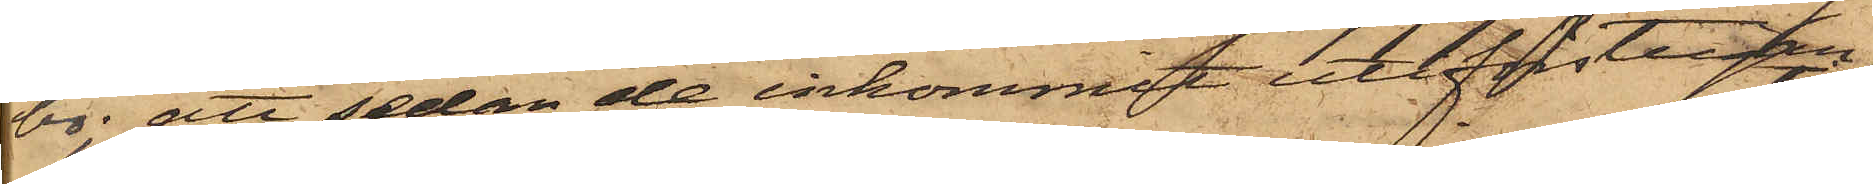bo; att sedan de inkommit uti förstugan
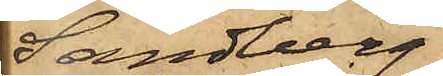Sandberg
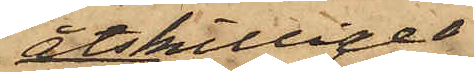åtskillige
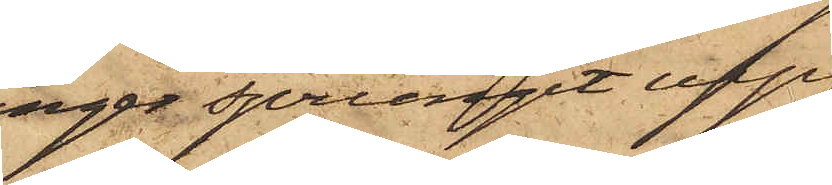gånger sprungit upp
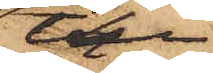till
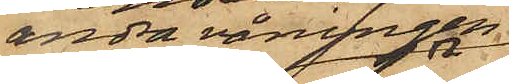andra våningen
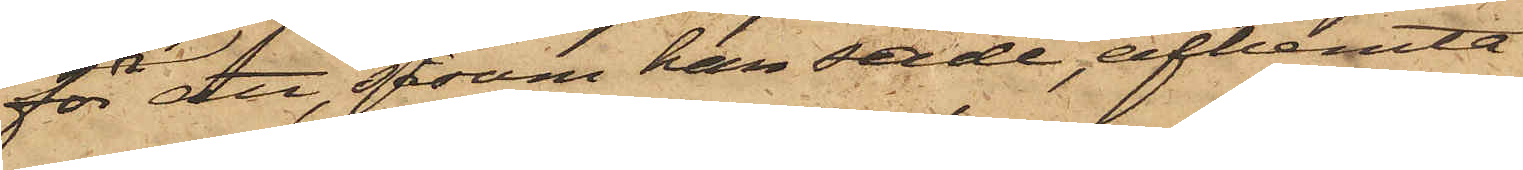för att, som han sade, afhemta
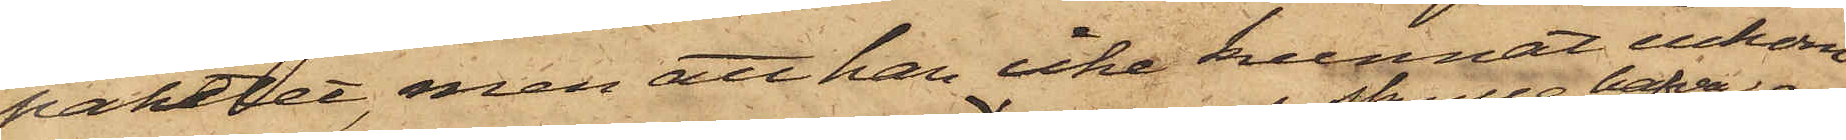paketet, men att han icke kunnat inkom¬
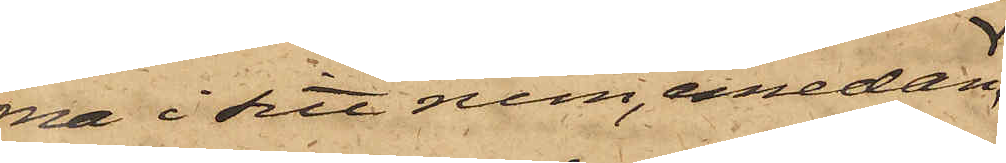na i sitt rum, emedan,
